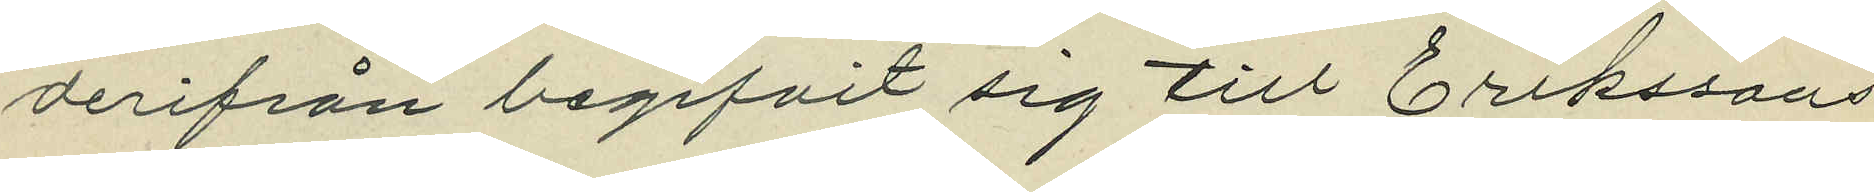derifrån begifvit sig till Erikssons
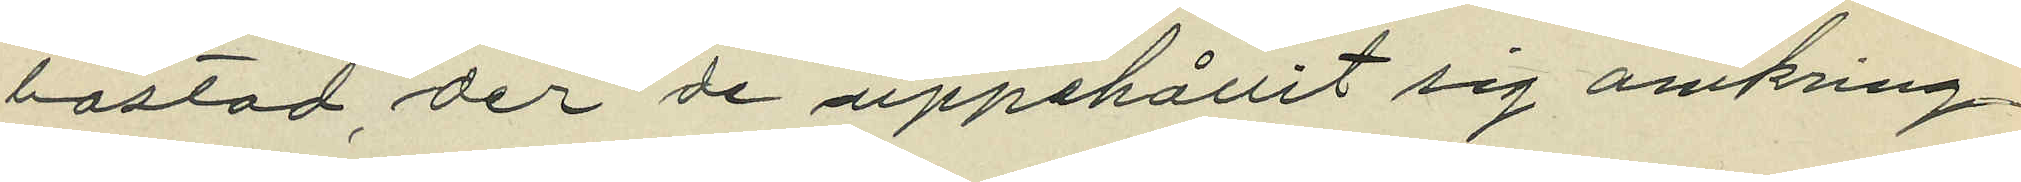bostad der de uppehållit sig omkring
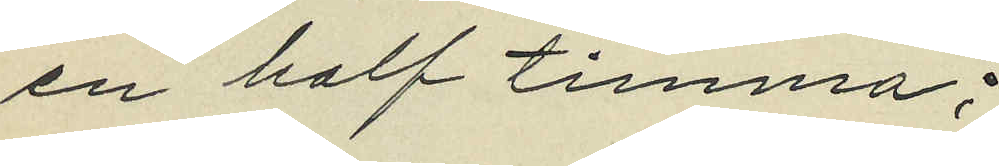en half timma;
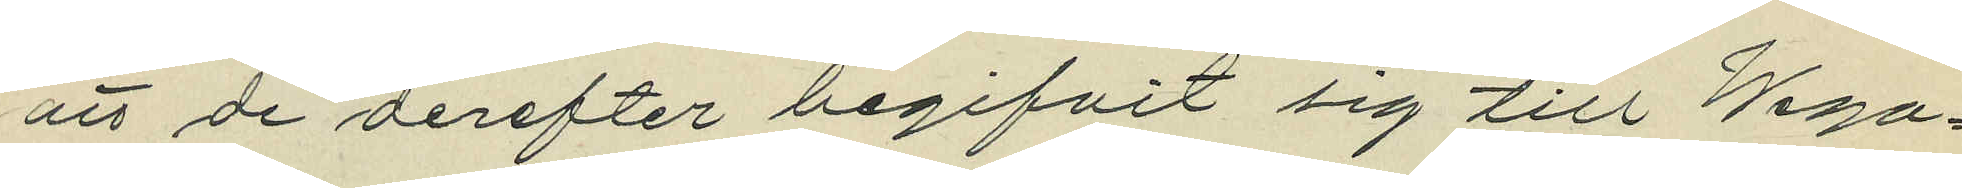att de derefter begifvit sig till Wega¬
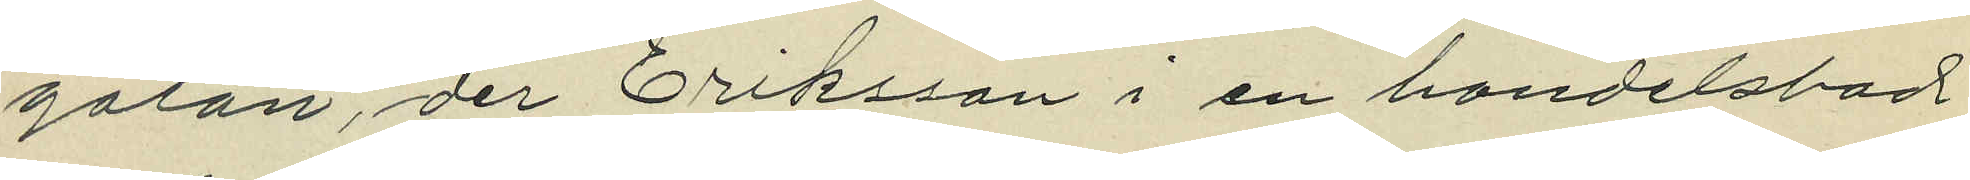gatan, der Eriksson i en handelsbod
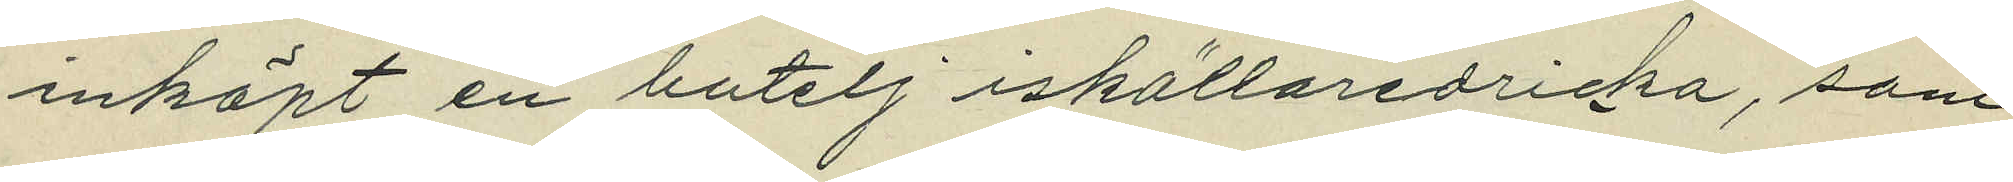inköpt en butelj iskällaredricka, som
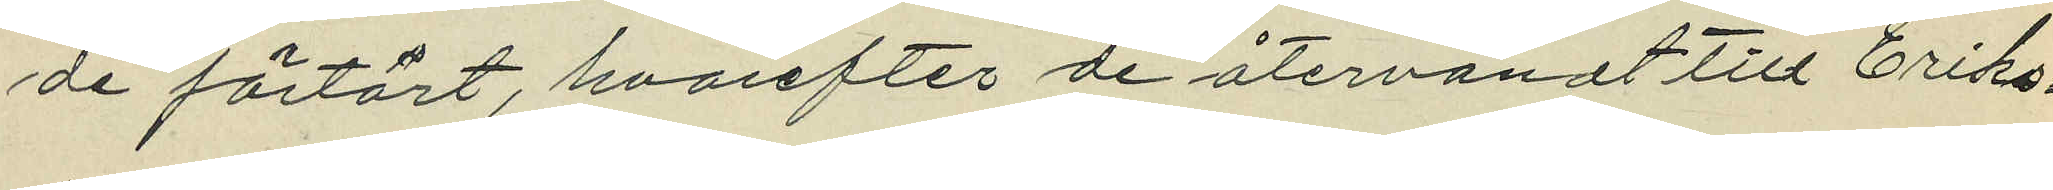de förtärt, hvarefter de återvändt till Eriks¬
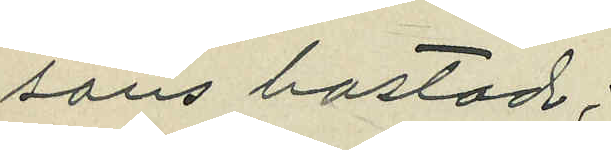sons bostad;
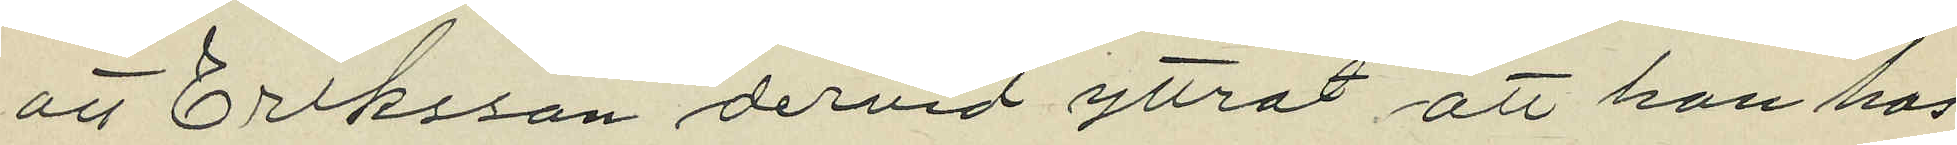att Eriksson dervid yttrat att han hos
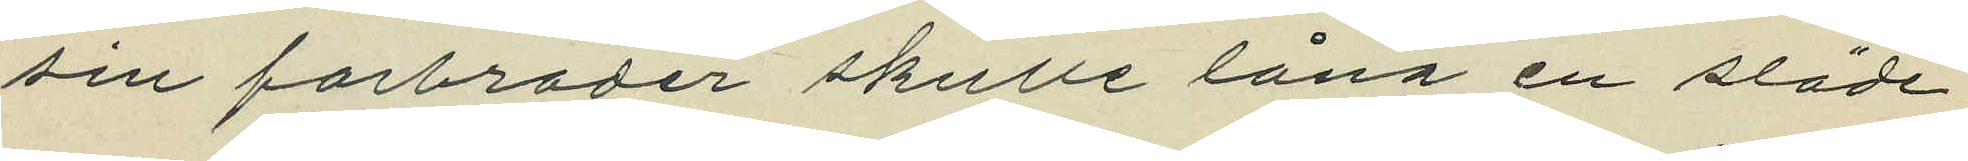sin farbroder skulle låna en släde
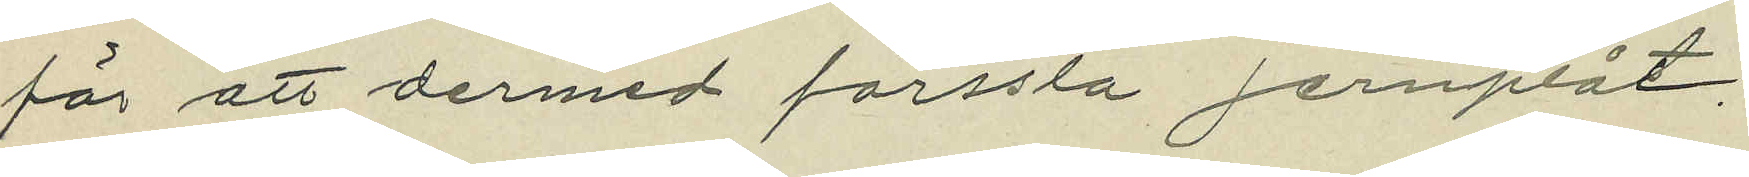för att dermed forsla jernplåt;
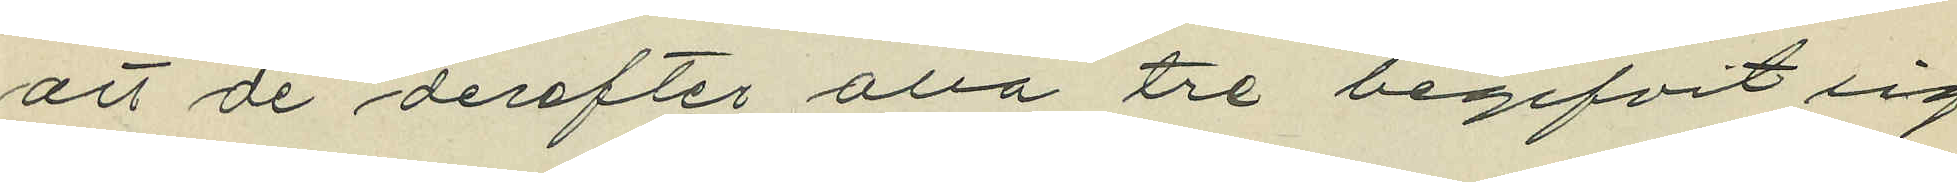att de derefter alla tre begifvit sig
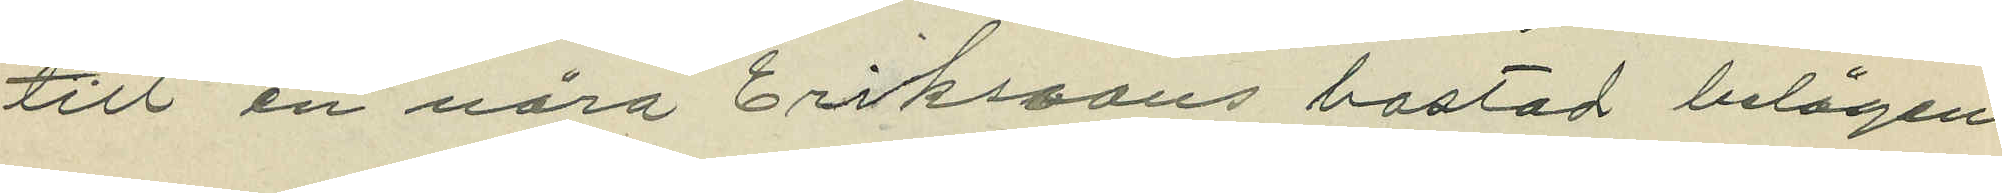till en nära Erikssons bostad belägen
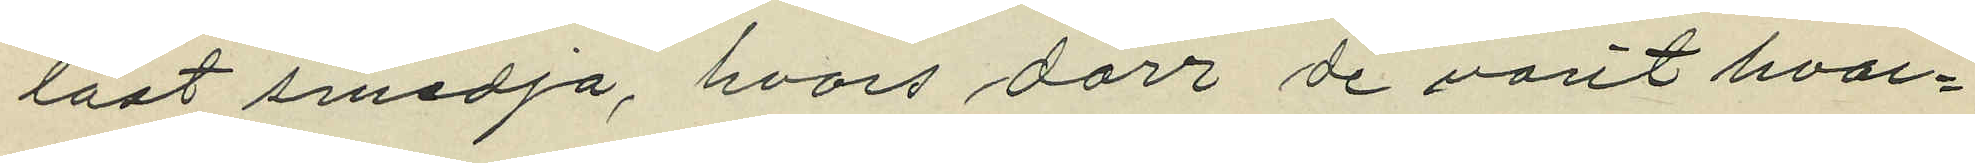låst smedja, hvars dörr de varit hvar¬
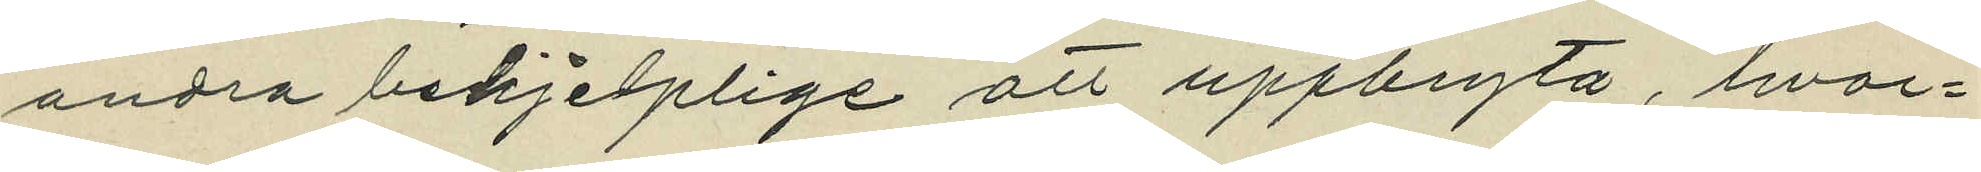andra behjelplige att uppbryta, hvar¬
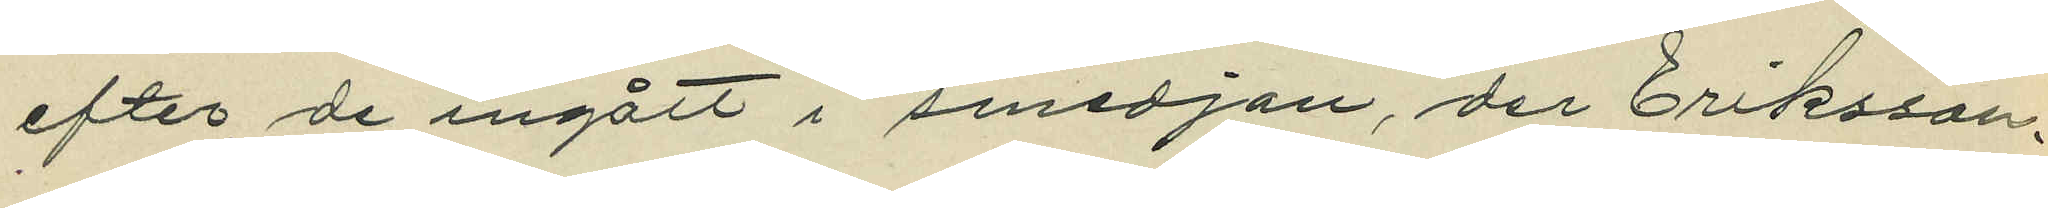efter de ingått i smedjan, der Eriksson
